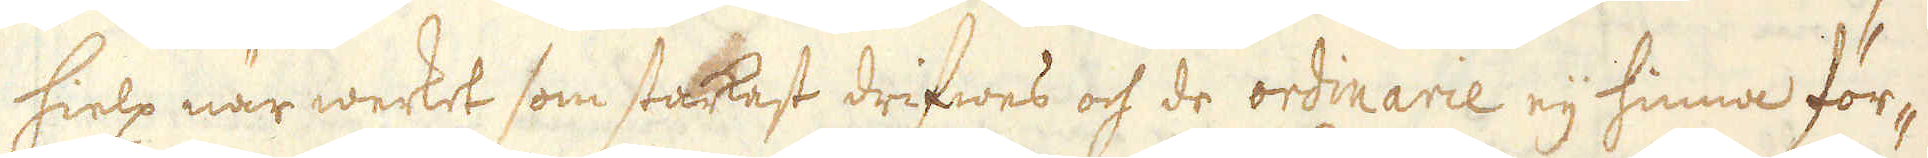hielp när werket som starkast drifwes och de ordinarie eij hinna för-
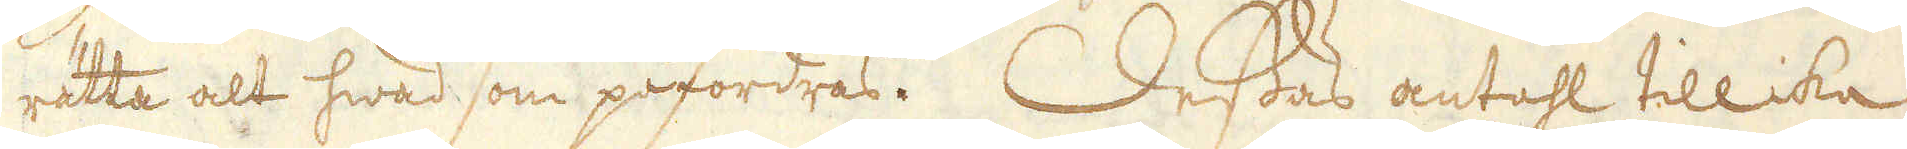rätta alt hwad som påfordras. Dessas antahl tillika
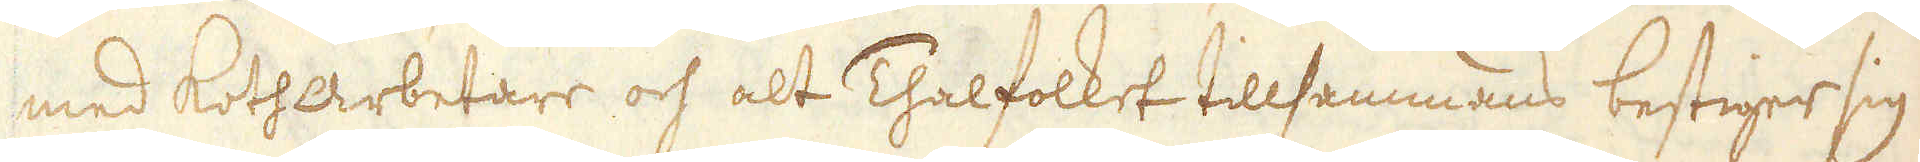med Kotharbetare och alt Thalfolket tillsammans bestiger sig
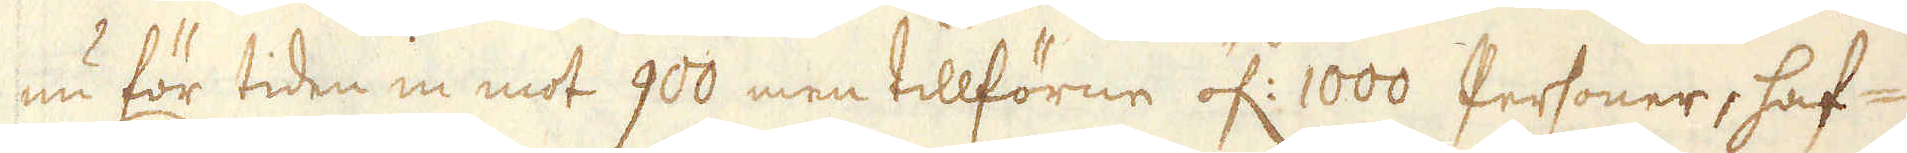nu för tiden in mot 900 men tillförne öf: 1000 Personer, haf-
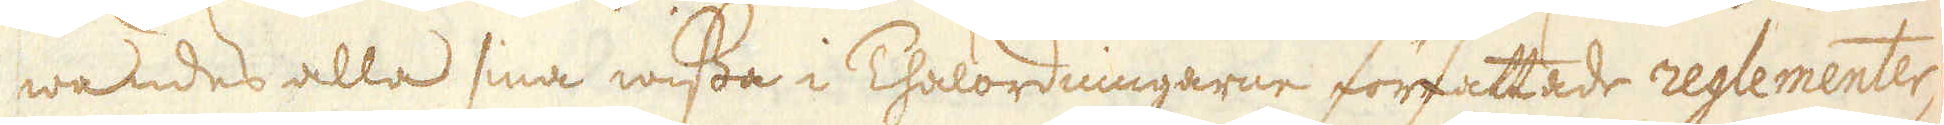wandes alla sina wissa i Thalordningarne författade reglementer,
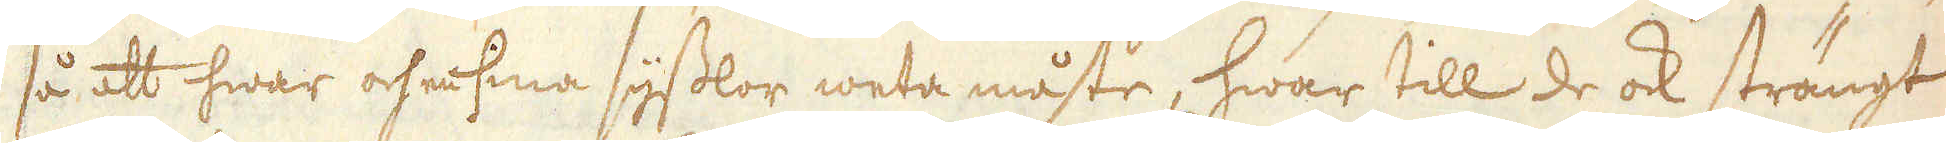så att hwar och en sina sysslor weta måste, hwar till de ock strängt
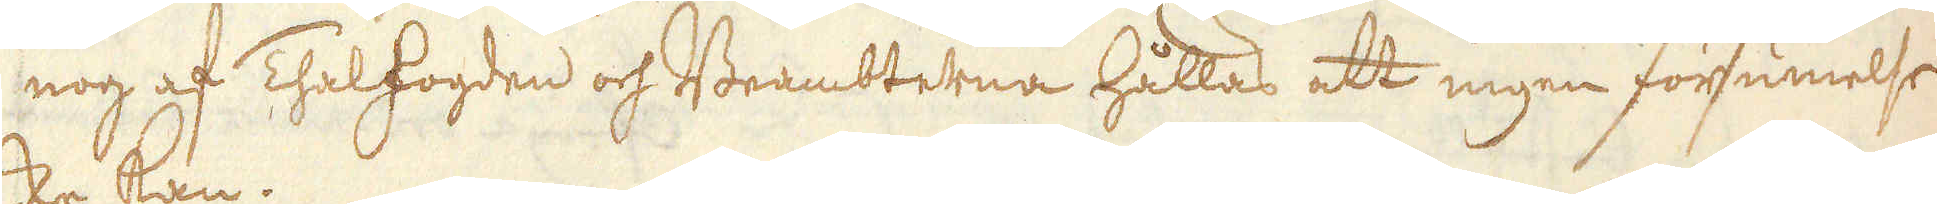nog af Thalfogden och Beambterna hållas att ingen försumelse
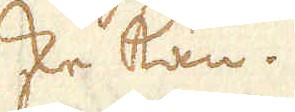ske kan.
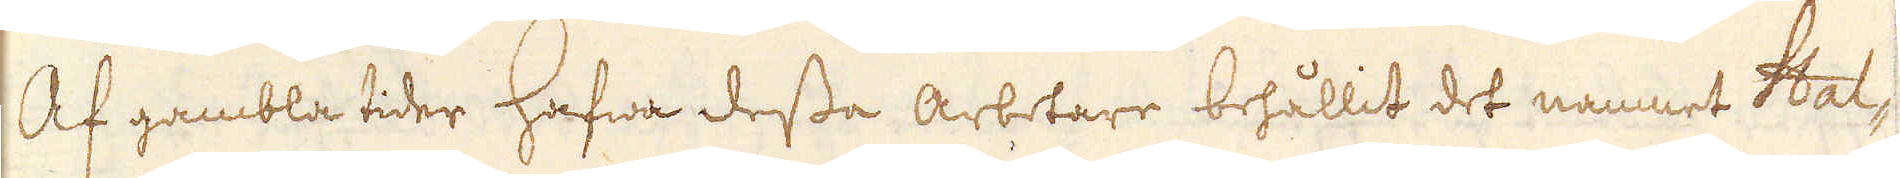Af gambla tider hafwa dessa arbetare behållit det namnet Hal-
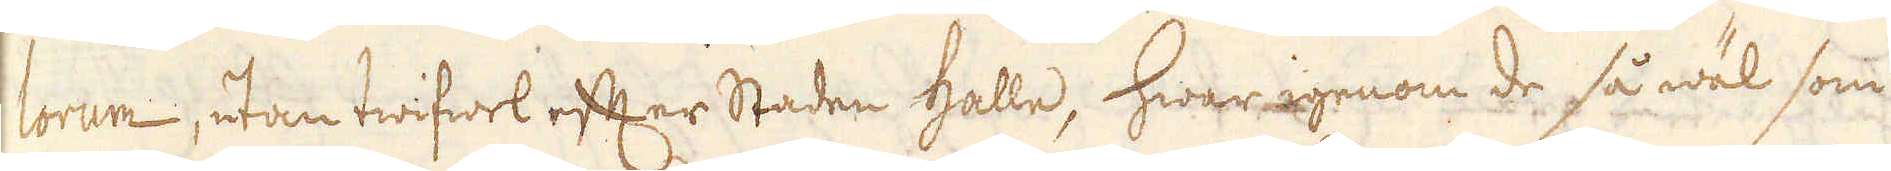lorum, utan twifwel efter Staden Halle, hwar igenom de så wäl som
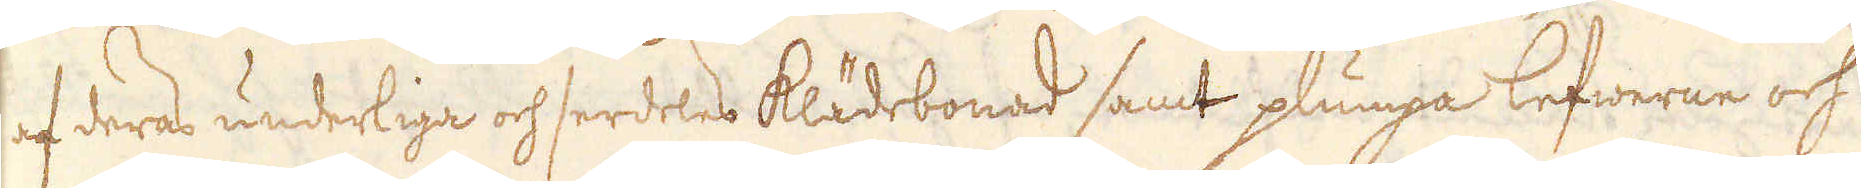af deras underliga och serdeles klädebonad samt plumpa lefwerne och
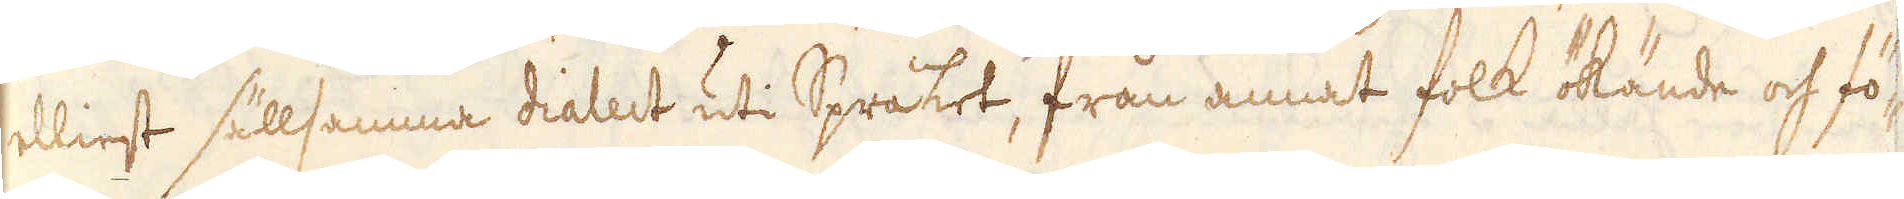elliest sällsamma dialect uti Språket, från annat folk ökände och fö-
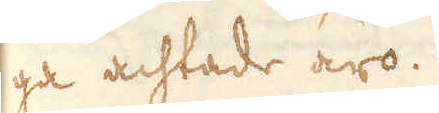ga achtade äro.
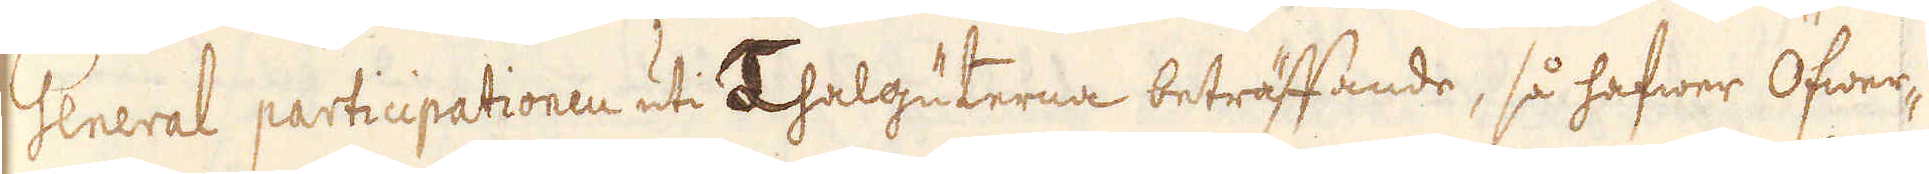General participationen uti Thalguterna beträffande, så hafwer Öfwer-
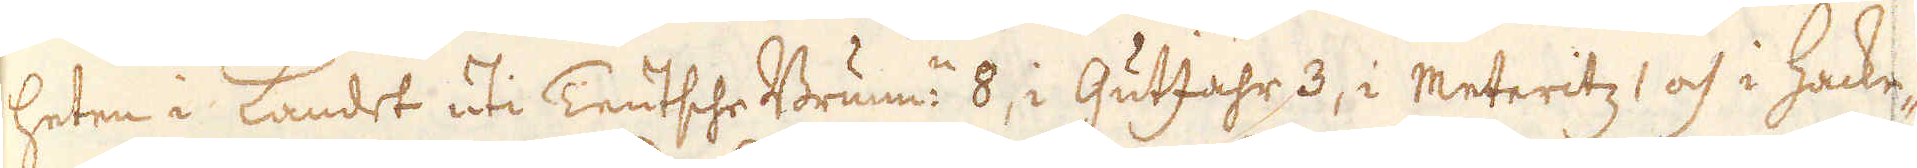heten i Landet uti Teutsche Brunn:n 8, i GutJahr 3, i Meteritz 1 och i Hacke-
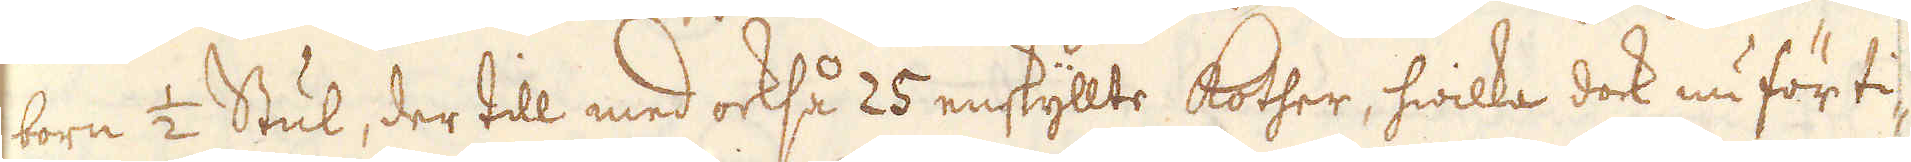born 1/2 Stul, der till med också 25 enskyllte Kother, hwilka dock nu för ti-
